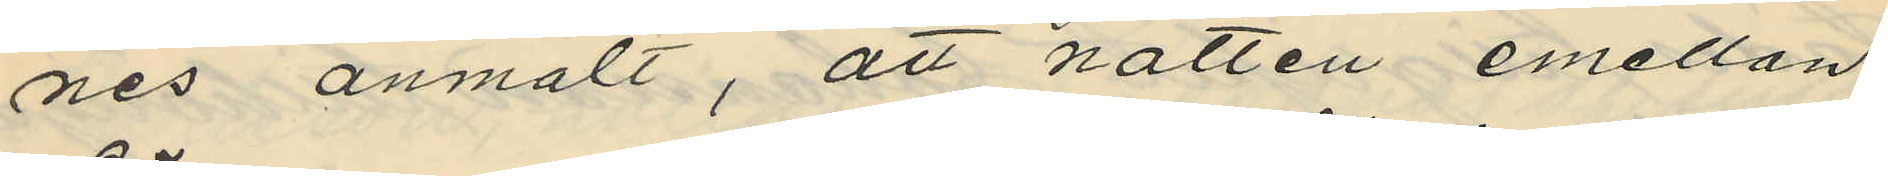nes anmält, att natten emellan
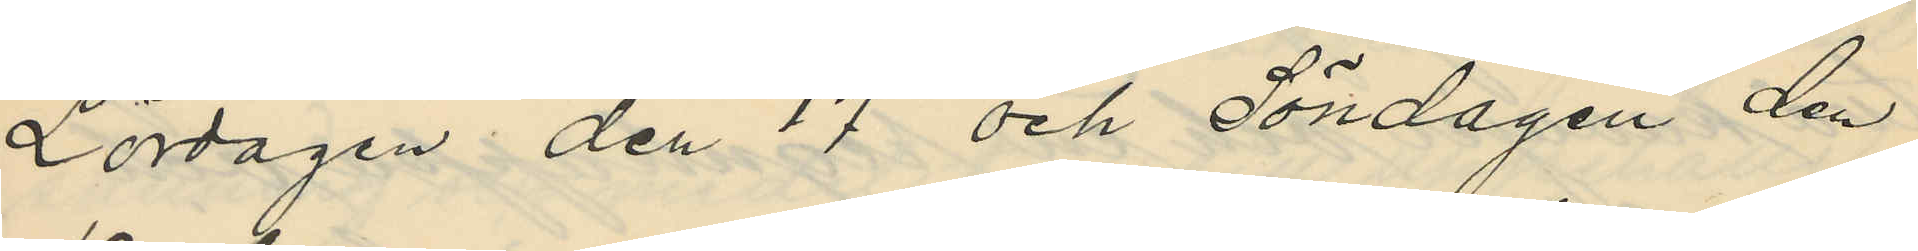Lördagen den 17 och Söndagen den
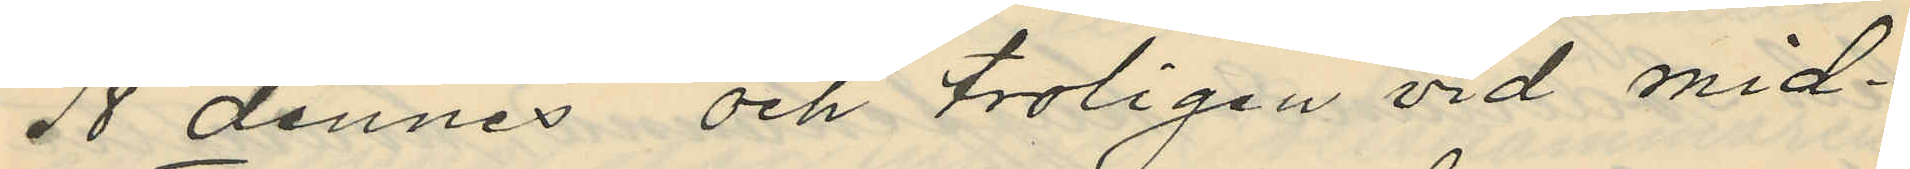18 dennes och troligen vid mid¬
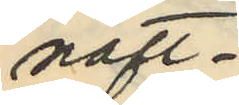natt¬
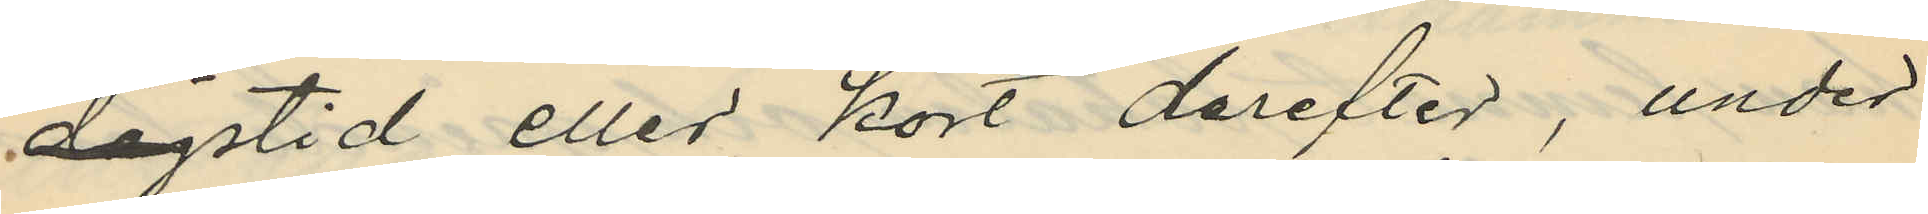dagstid eller kort derefter, under
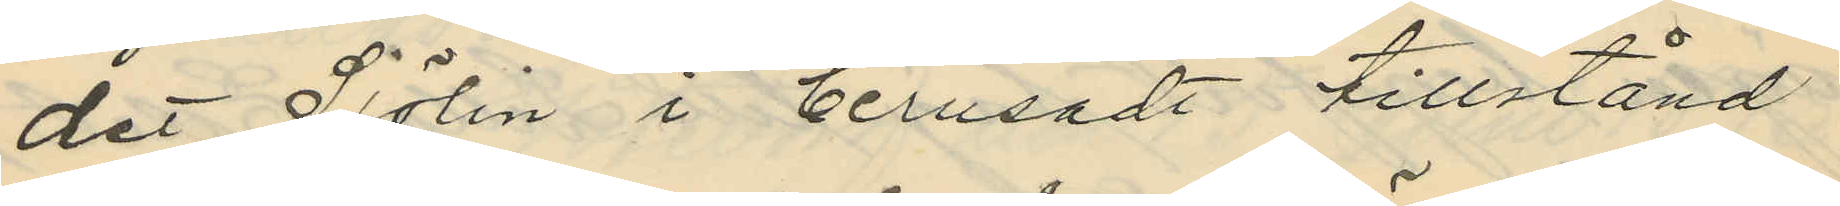det Sjölin i berusadt tillstånd
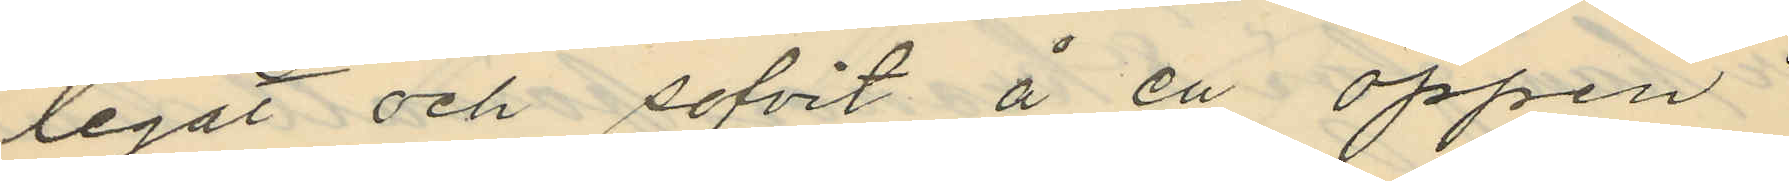legat och sofvit å en öppen
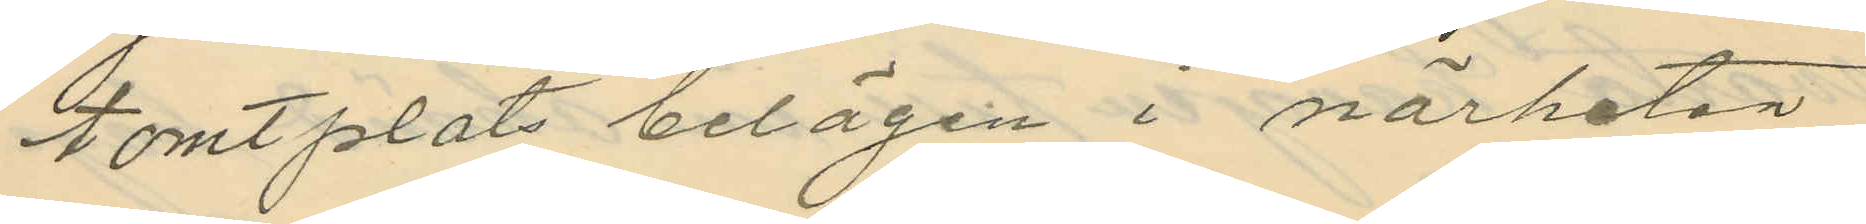tomtplats belägen i närheten
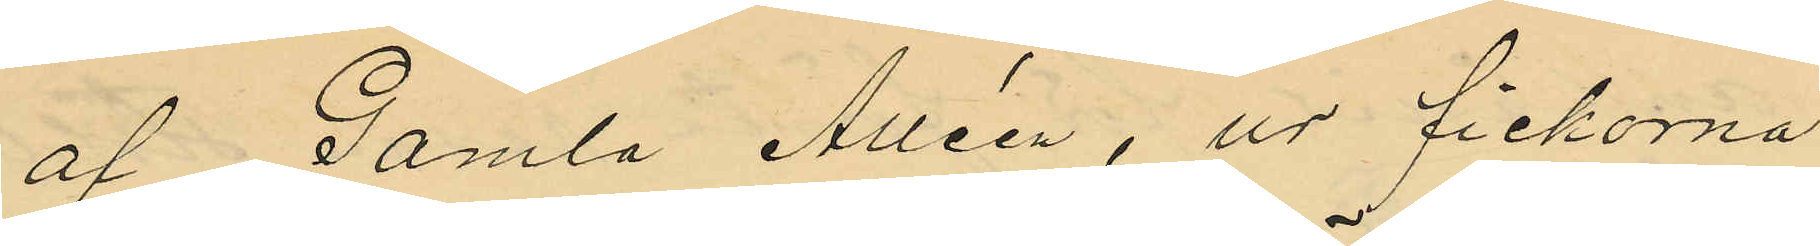af Gamla Alléen, ur fickorna
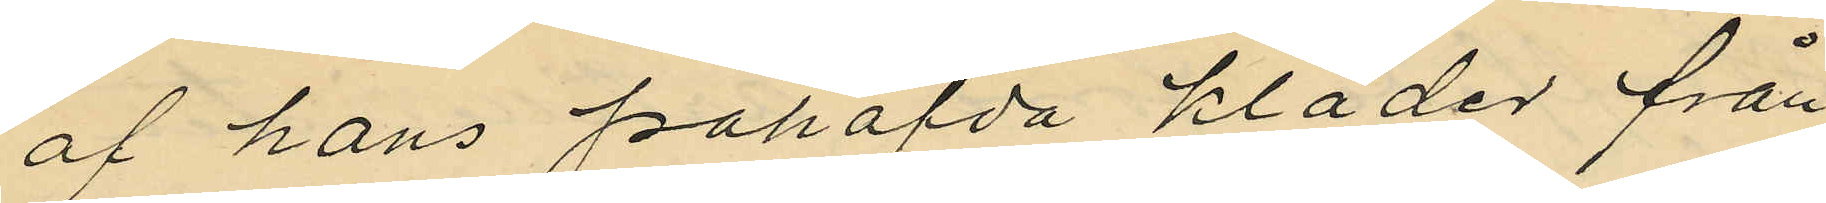af hans påhafda kläder från
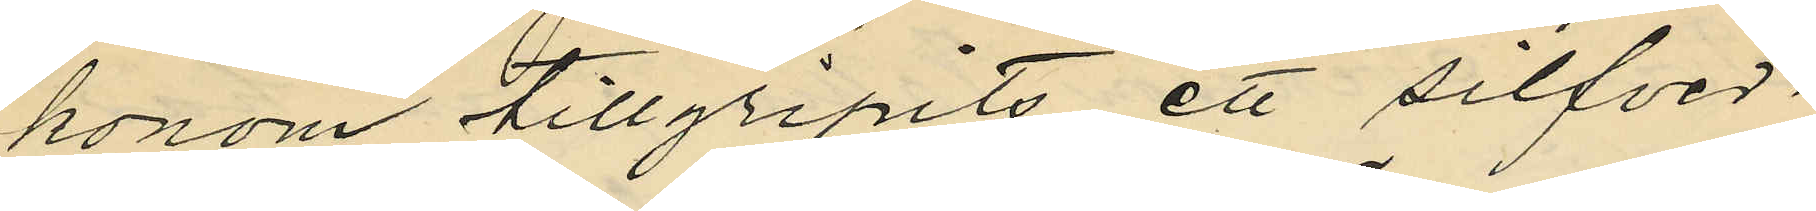honom tillgripits ett silfver¬
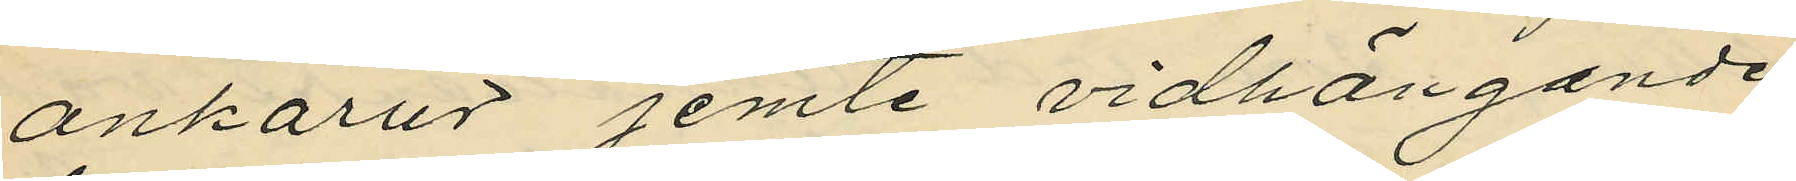ankarur jemte vidhängande
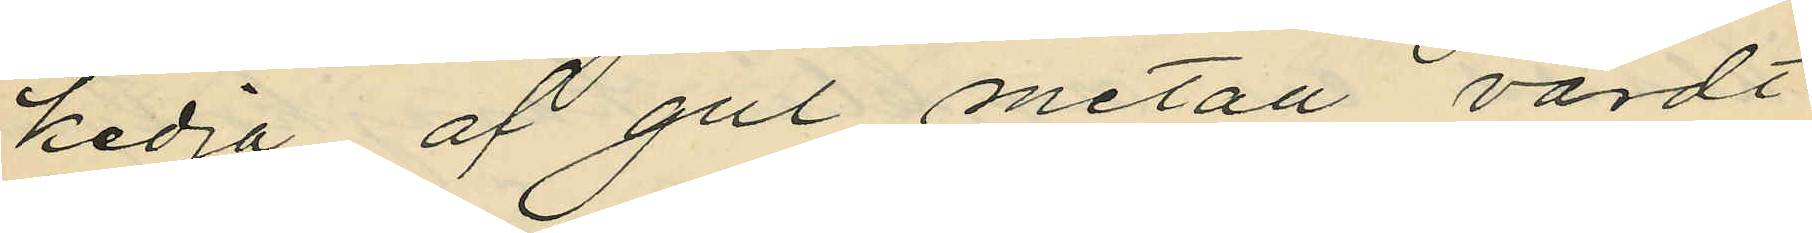kedja af gul metall värdt
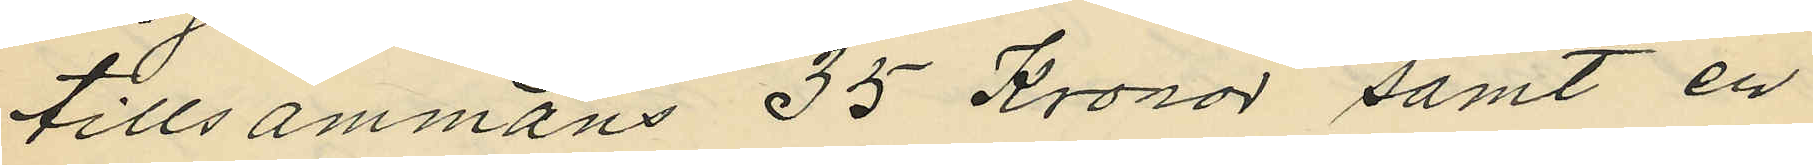tillsammans 35 Kronor samt en
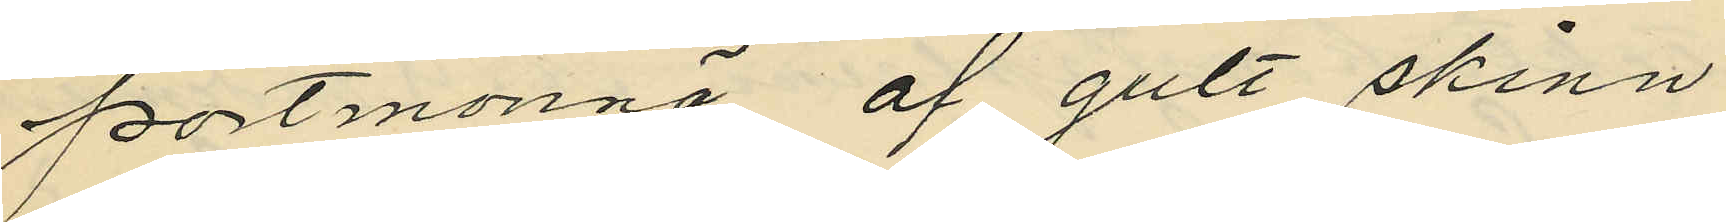portmonnä af gult skinn
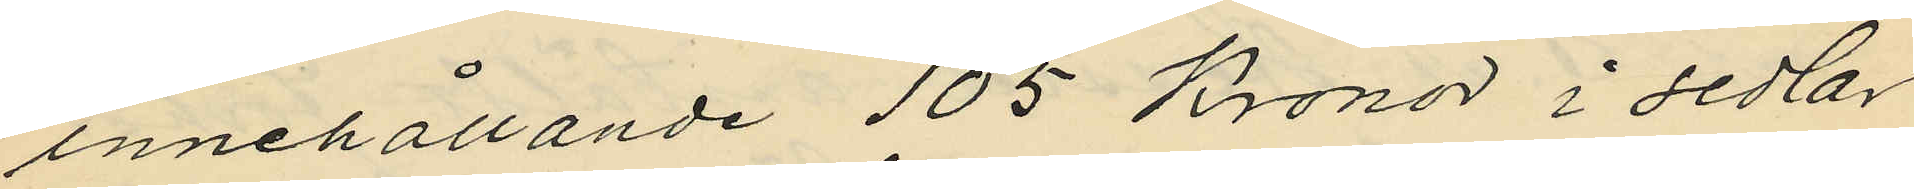innehållande 105 Kronor i sedlar
